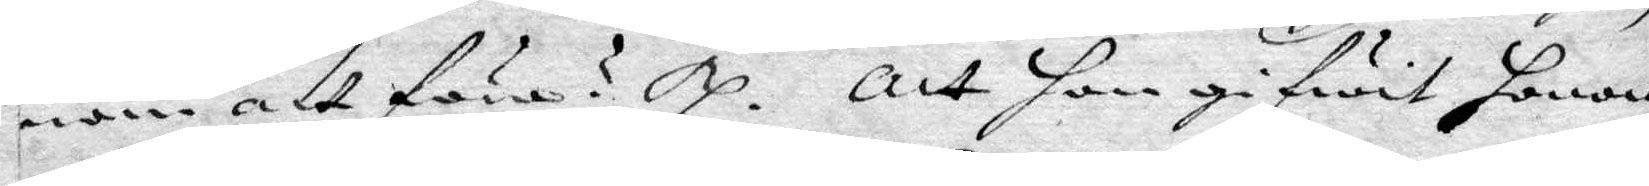nom att föra? Rp. att hon gifwit honom
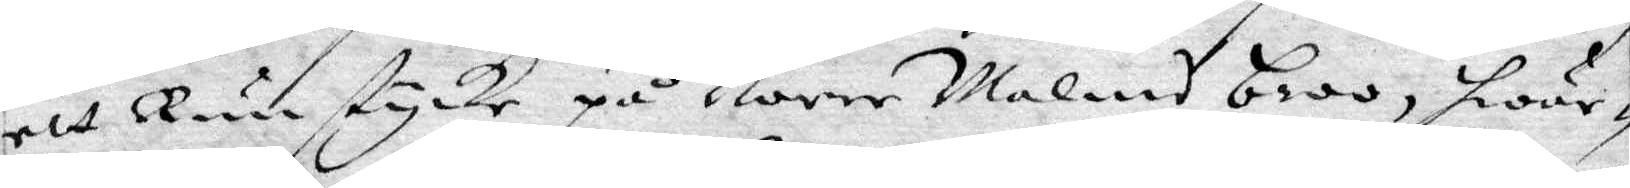ett Runstycke på Norr Malms broo, hwar¬
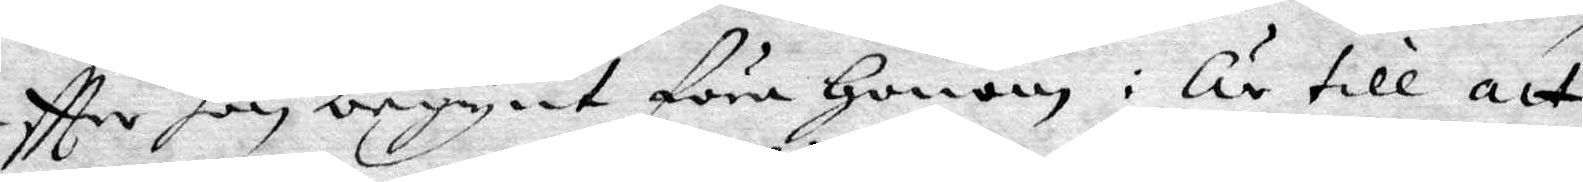eftter hon begynt föra Honom: Är till att
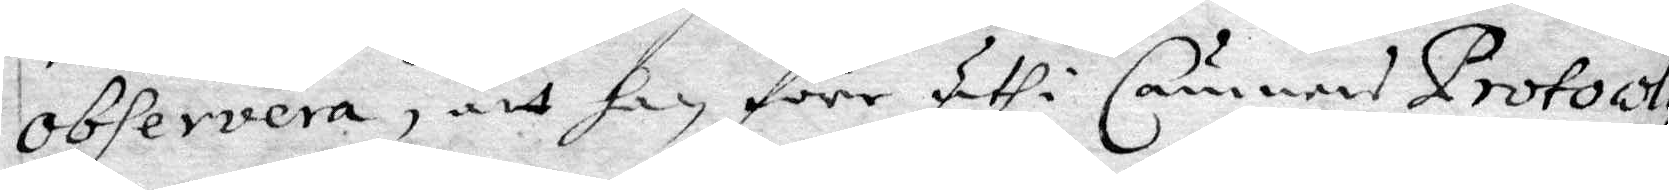observera, att han förr uthi Cämners Protocol¬
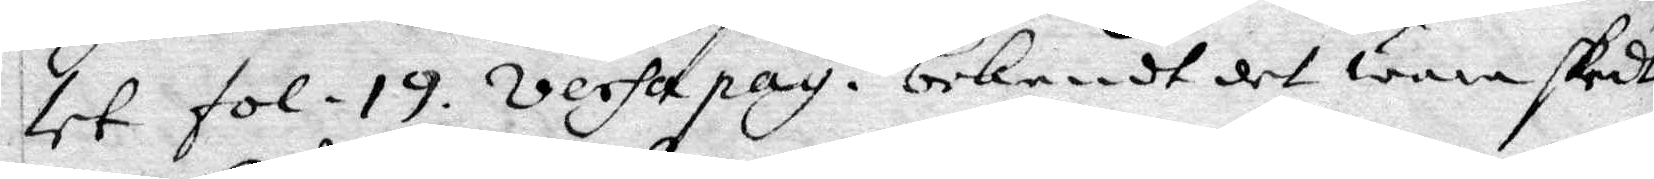let fol 19. versa pag. bekendt det wara skedt
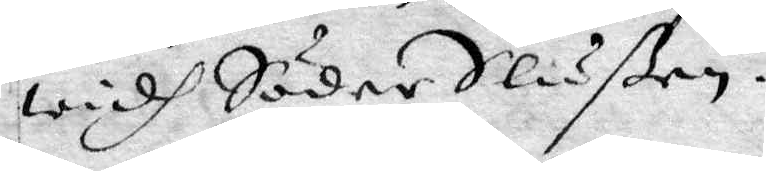widh Söder Slußen.
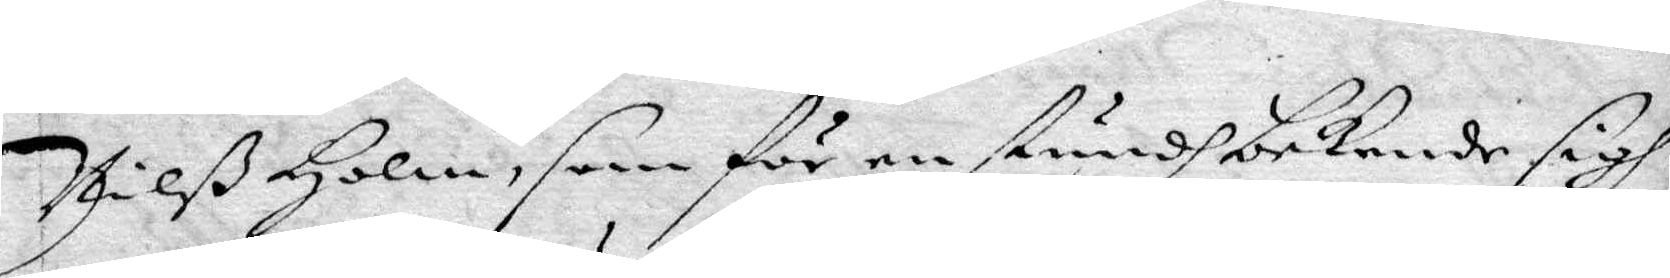Nilß Holm, som för en stundh bekende sigh
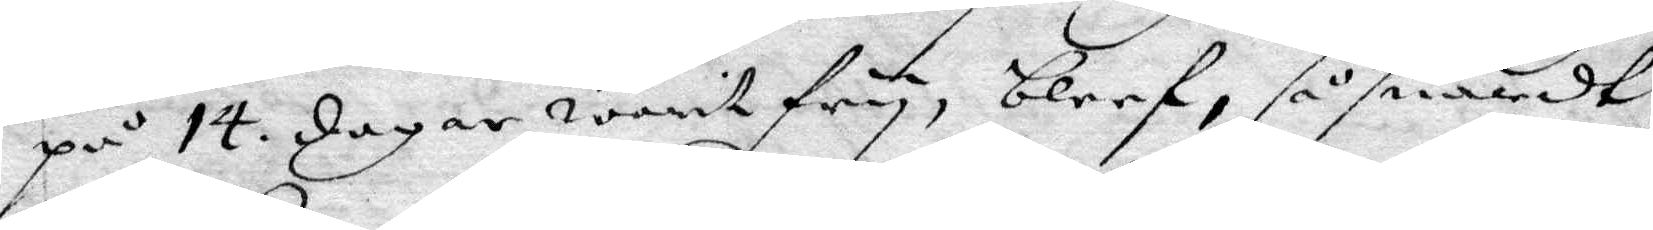på 14. dagar warit fry, bleef, såsnardt
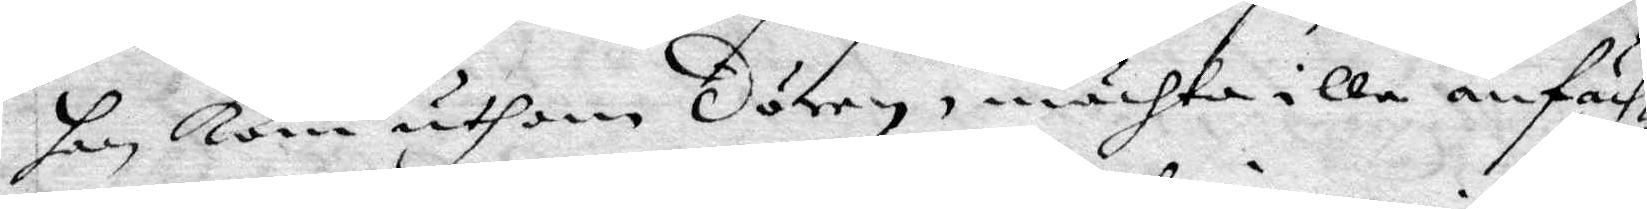han Kom uthan dören, mächta illa anfäch¬
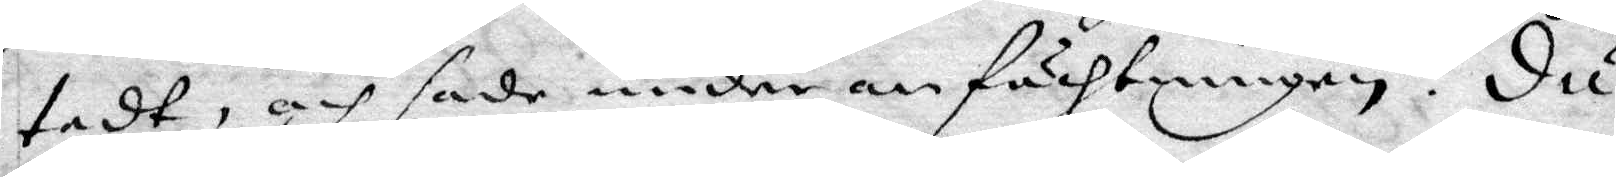tadt, och sade under anfächtningen: du
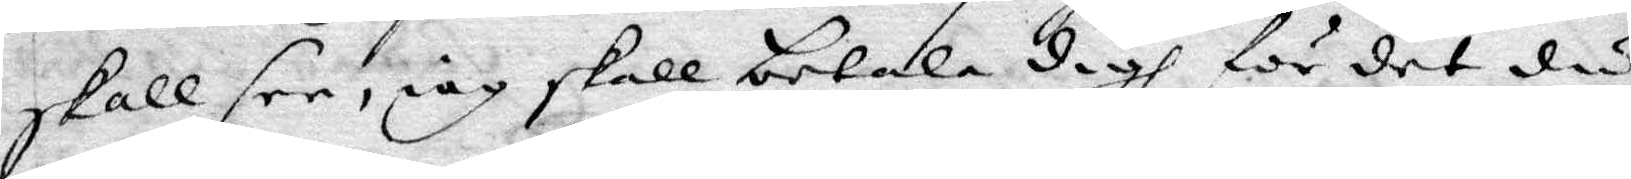skall see, iag skall betala digh för det du
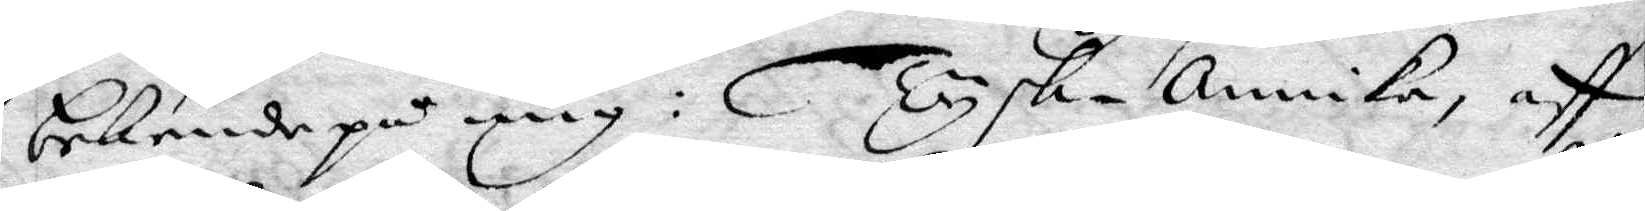bekende på mig: Tysk-annika, aff
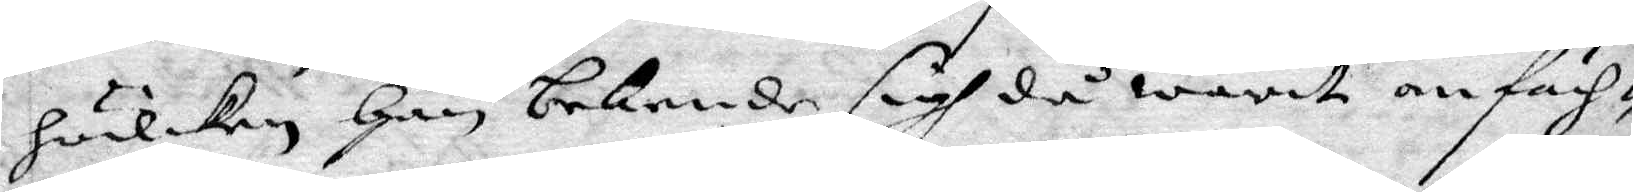hwilken Han bekende sigh då warit anfäch¬
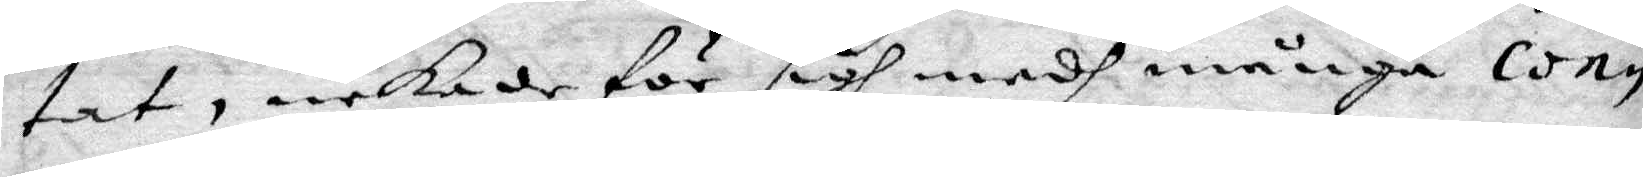tat, nekade för sigh medh många con¬
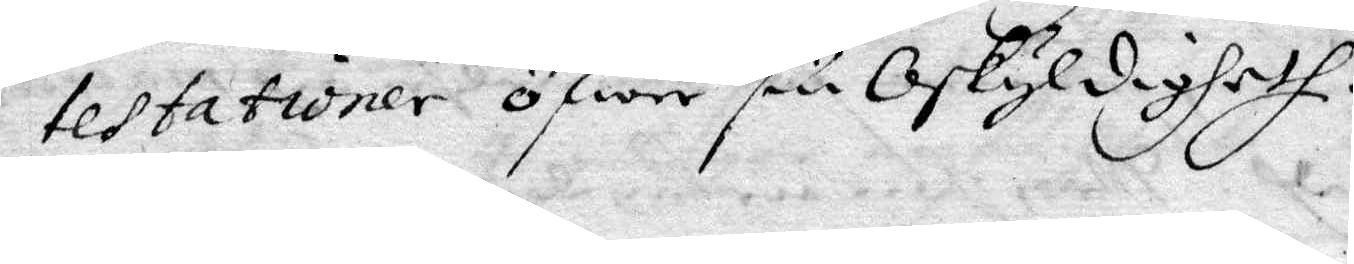testationer öfwer sin Oskyldigheth.
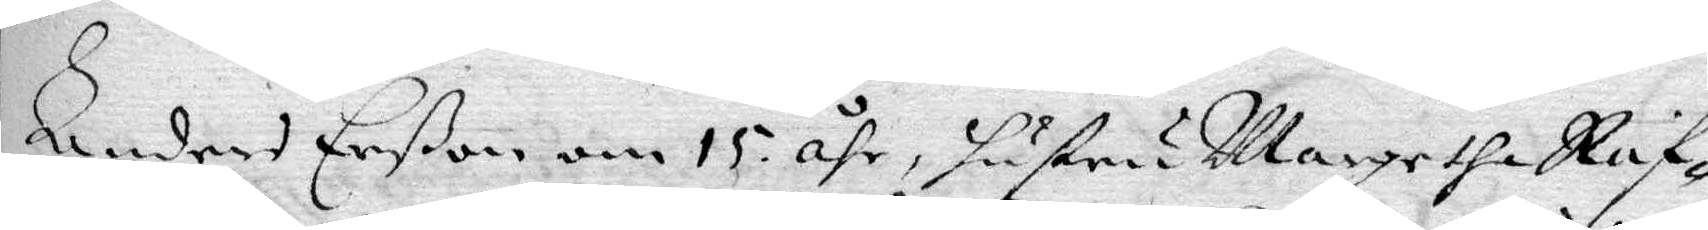Anders Erßon om 15 åhr, hustru Margetha Raf¬
